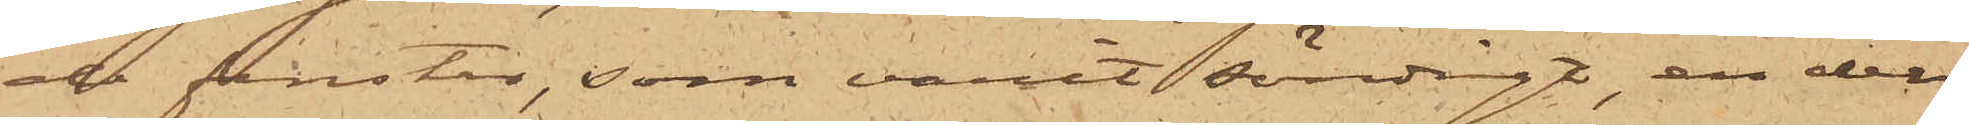de fenster, som varit söndigt, en del
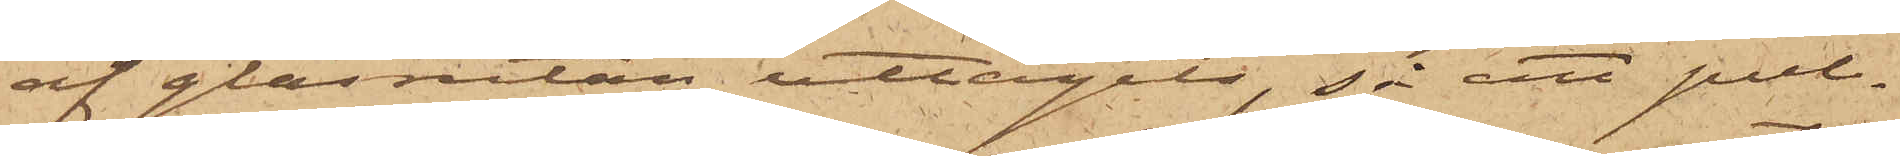af glasrutan uttagits, så att pul¬
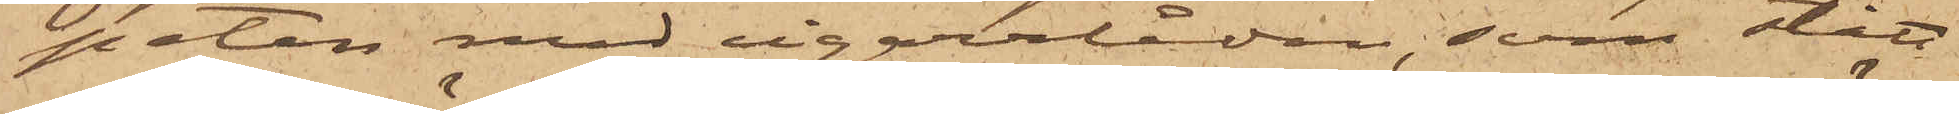peten med cigarrlådan, som stått
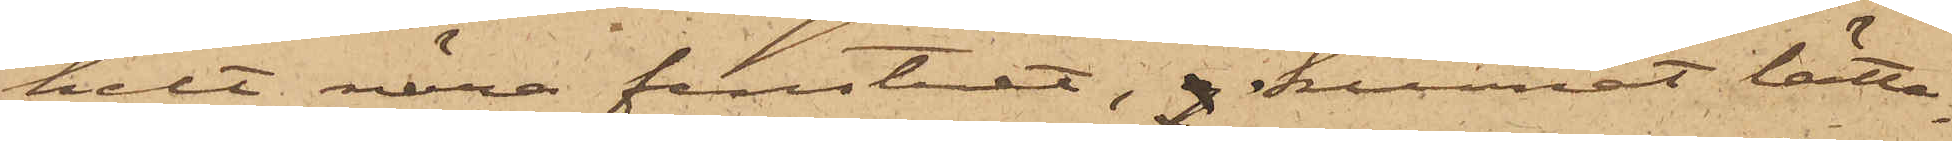helt nära fenstret, kunnat lätte¬
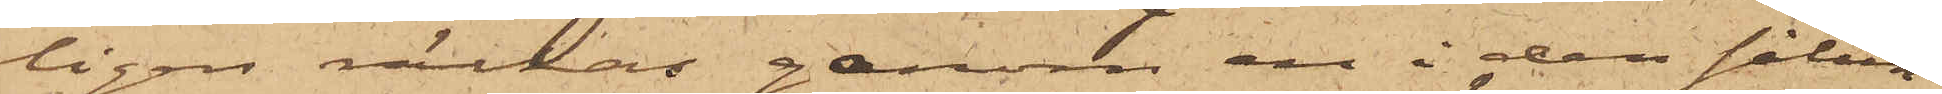ligen räckas genom en i den sålun¬
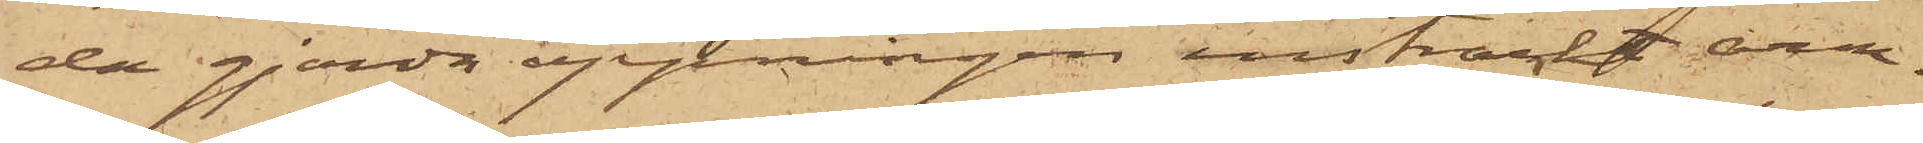da gjorda öppningen insträckt arm.
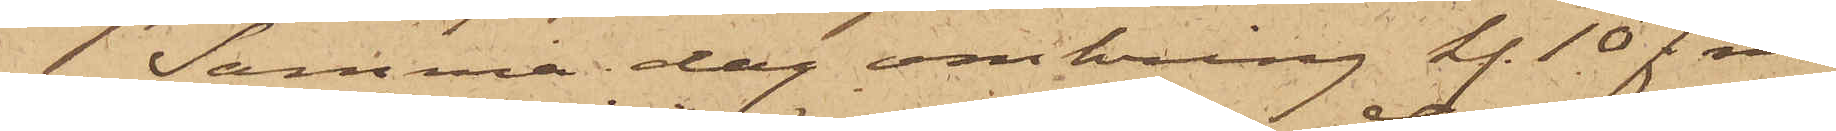Samma dag omkring kl. 10 f m
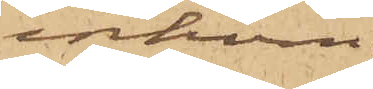inkom
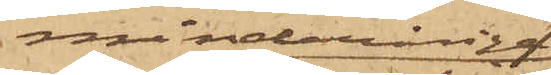minderåriga
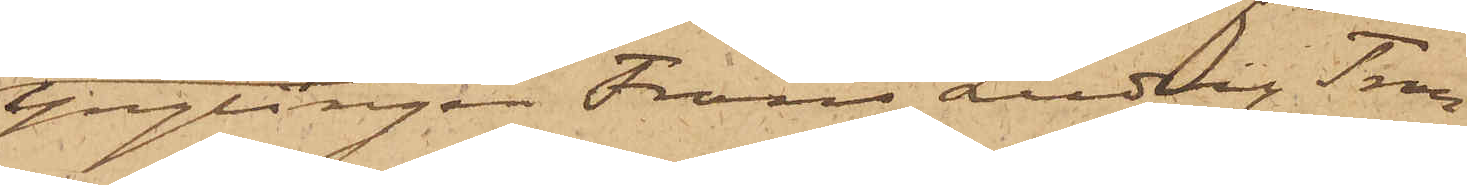Ynglingen Frans Ludvig Tran¬
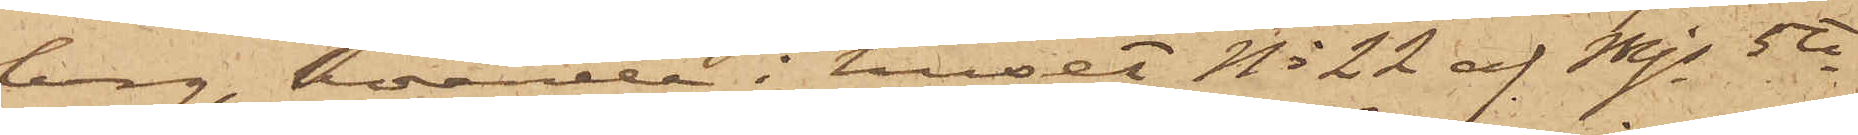berg, boende i huset No 22 af Mjs 5te
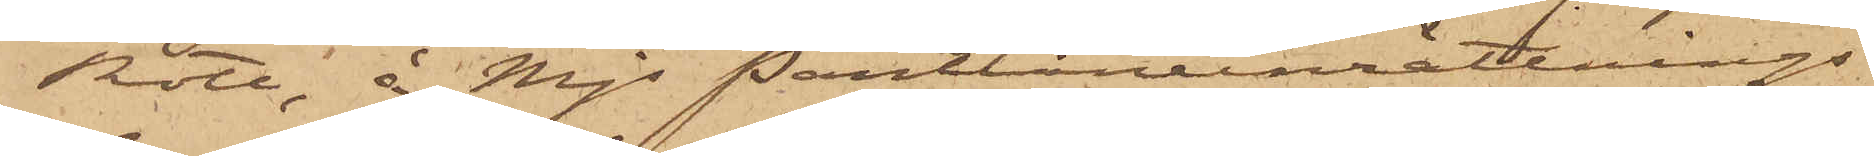Rote, å Mjs Pantlåneinrättnings
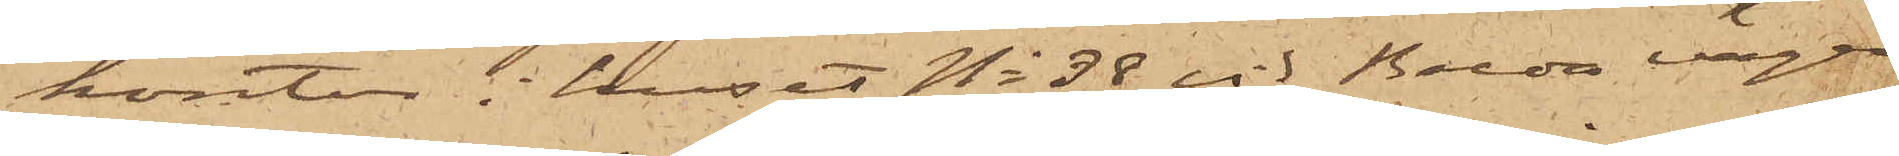kontor i huset No 38 vid Breda vägen
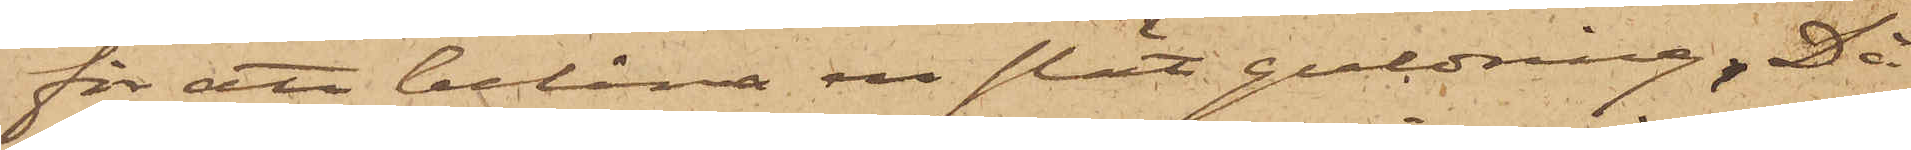för att belåna en slät guldring. Då
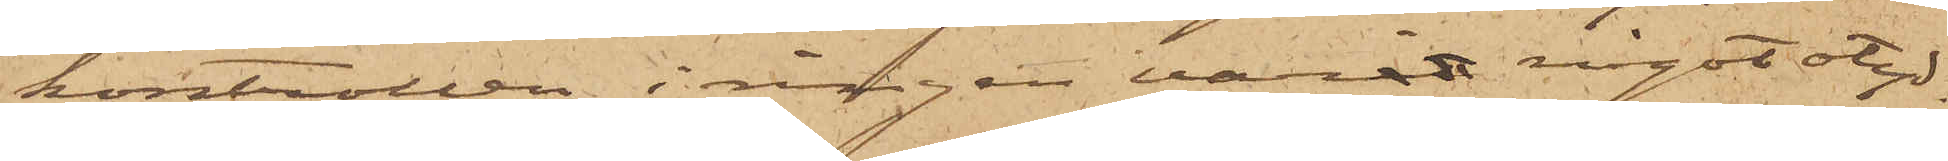kontrollen i ringen varit något otyd¬
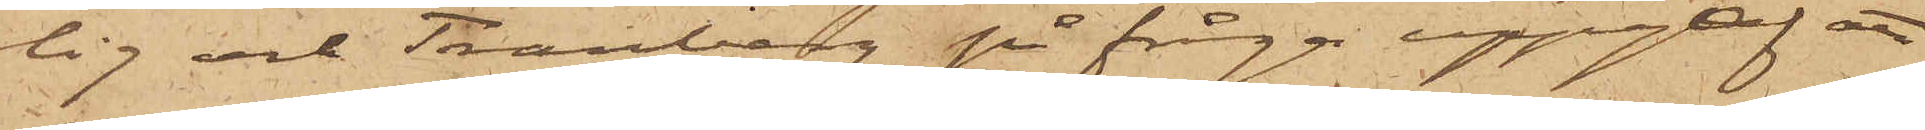lig och Tranberg på fråga uppgaf att
